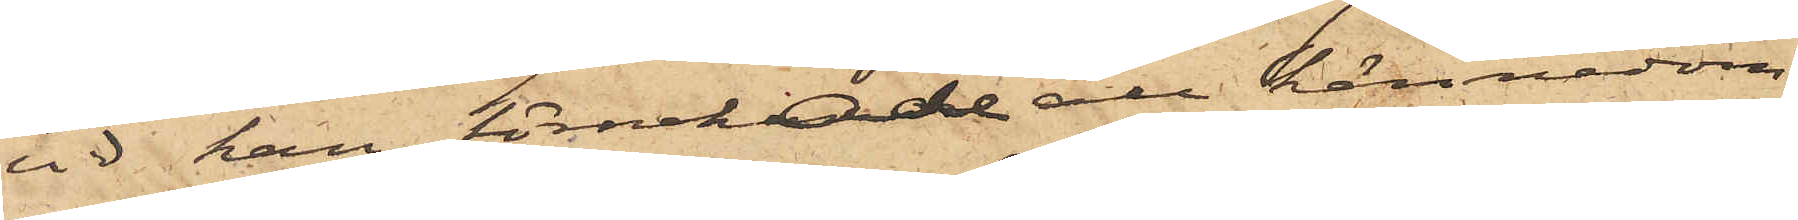vid han förnekade all kännedom
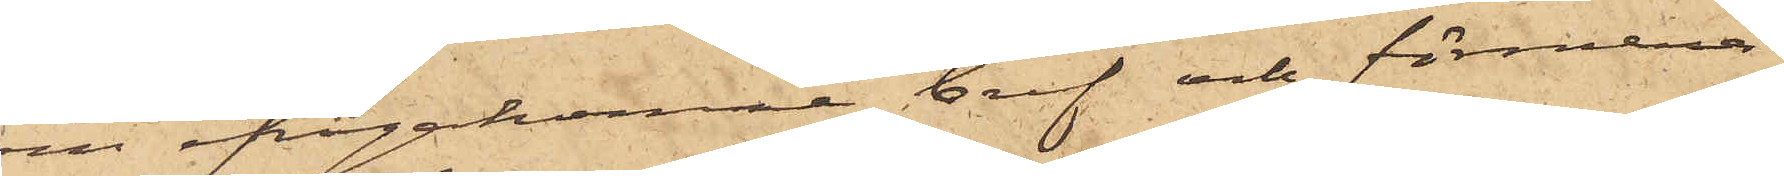om ifrågakomne bref och förmena¬
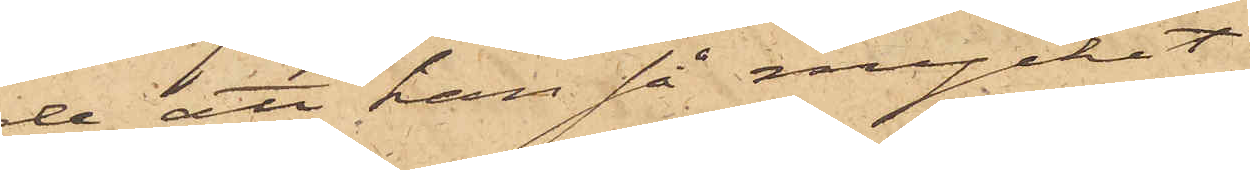de att han så mycket
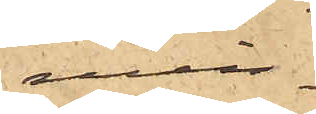min¬
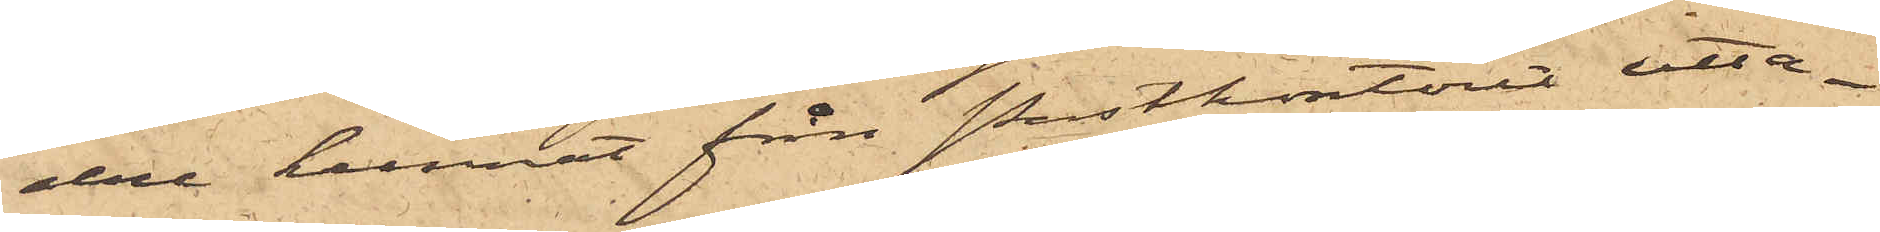dre kunnat från postkontoret utta¬
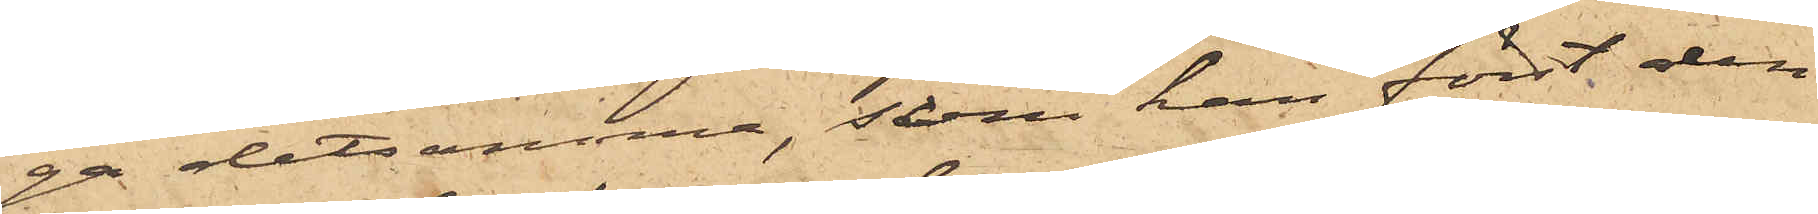ga detsamma, som han först den
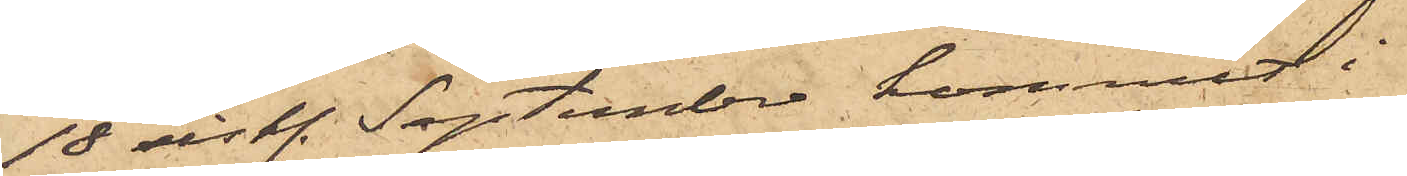18 sist. September kommit i
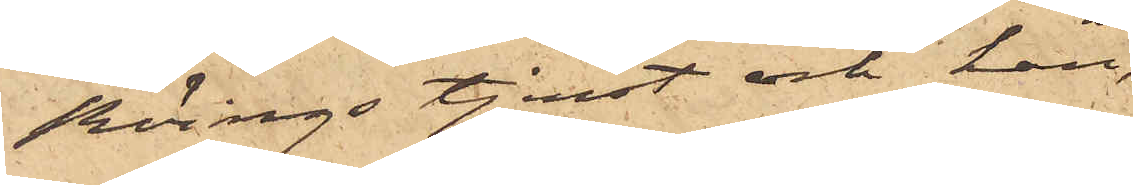Röings tjenst och han,
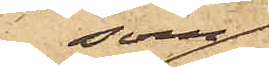som
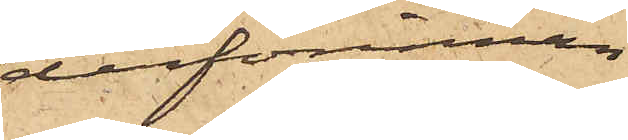derförinnan
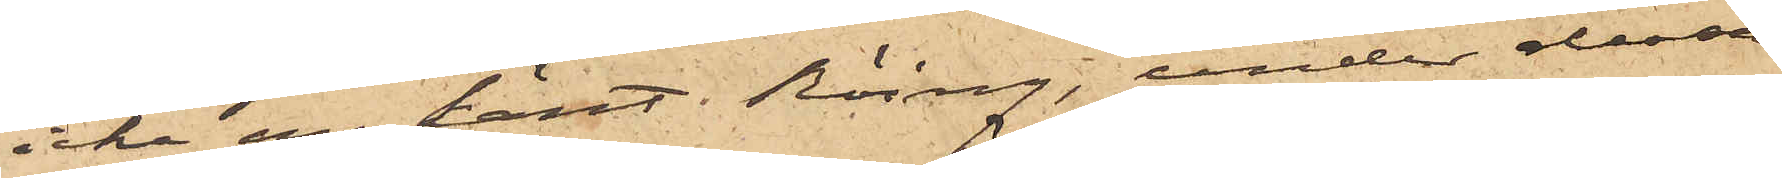icke ens känt Röing, under dessa
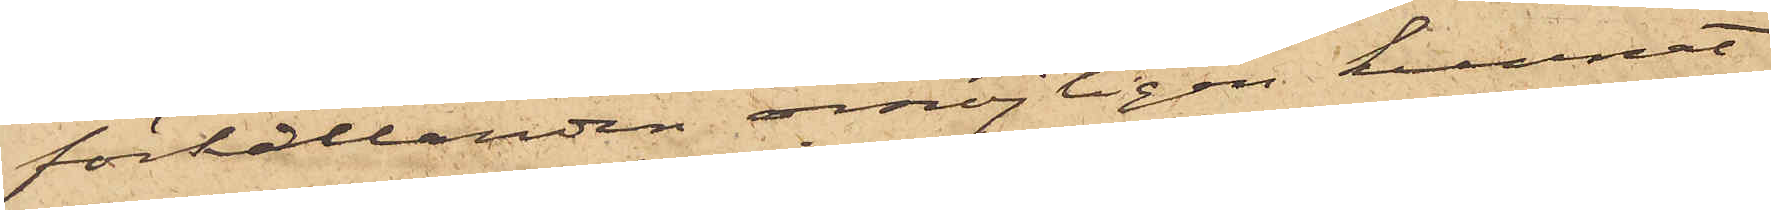förhållanden omöjligen kunnat
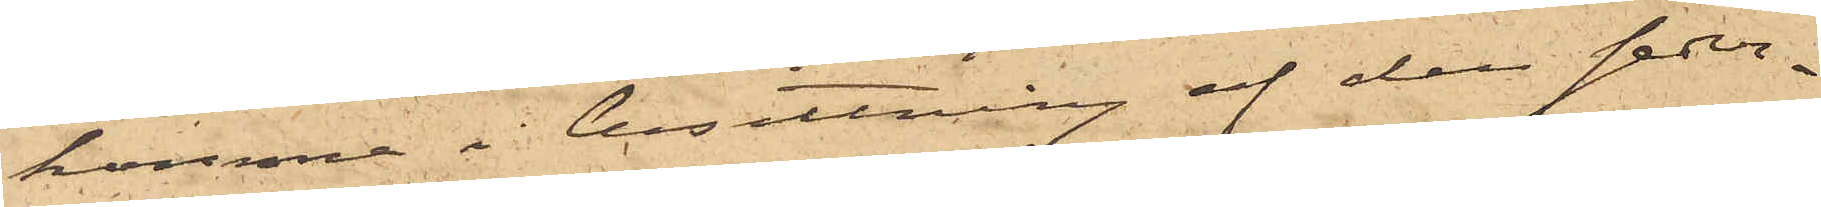komma i besittning af den seder¬
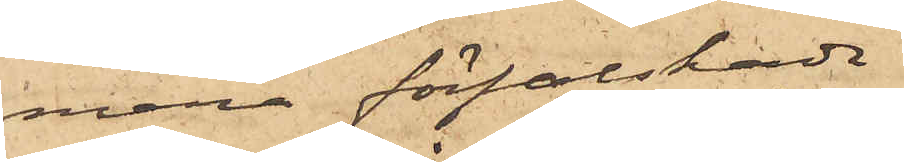mera förfalskade
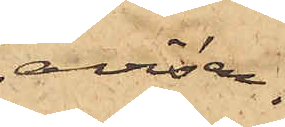avisen.
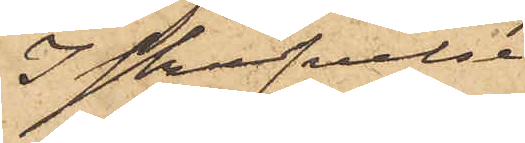I skrifvelse
